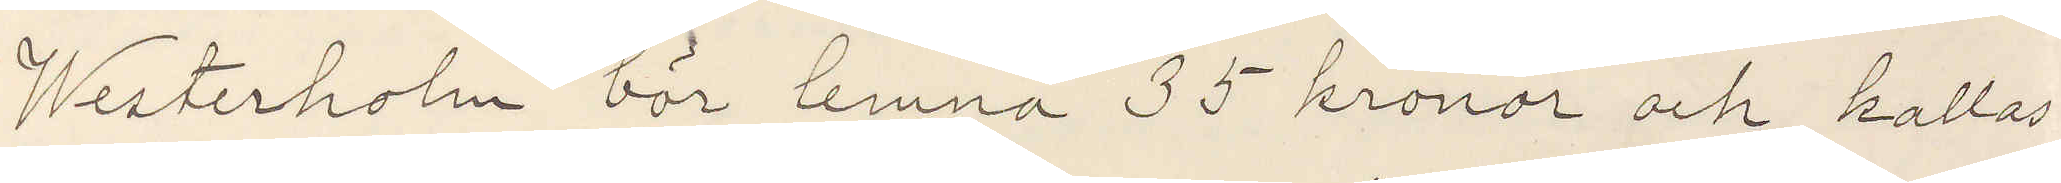Westerholm bör lemna 35 kronor och kallas
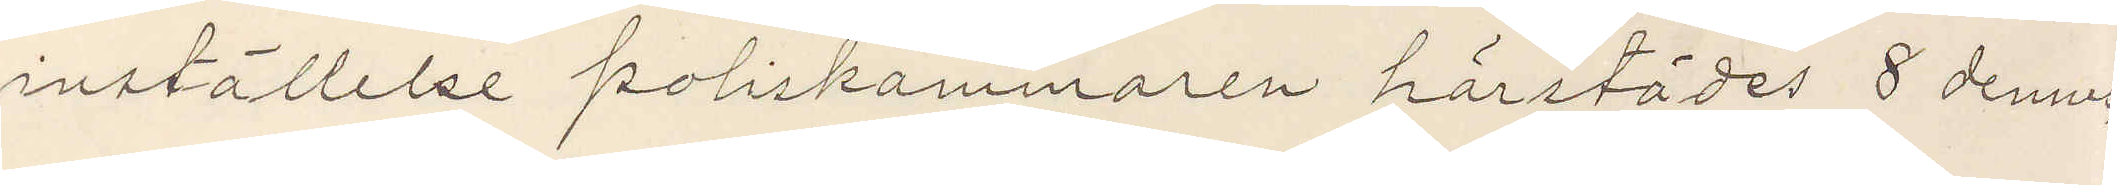inställelse poliskammaren härstädes 8 dennes
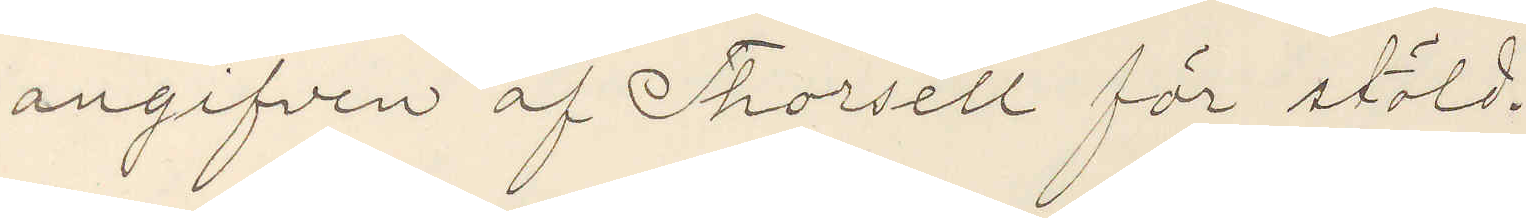angifven af Thorsell för stöld.
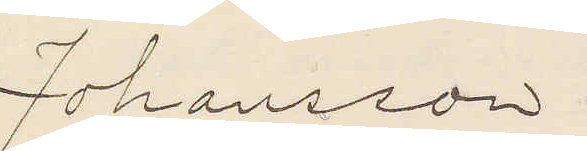Johansson
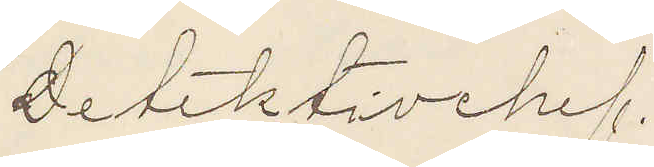Detektivchef.
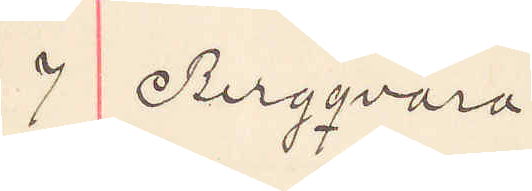7 Bergqvara
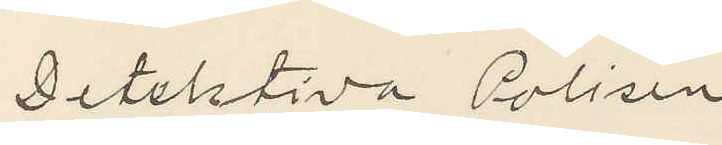Detektiva Polisen
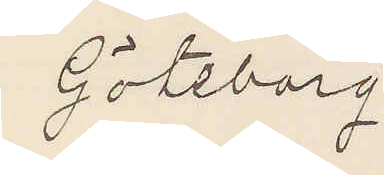Göteborg
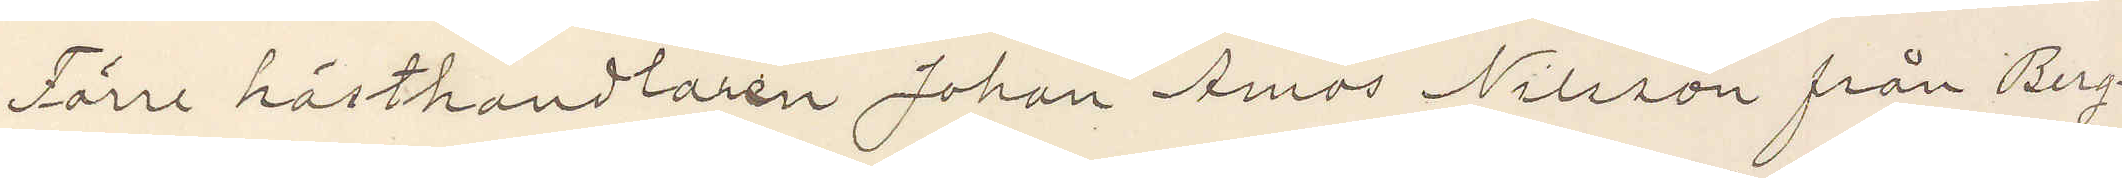Förre hästhandlaren Johan Amos Nilsson från Berg¬
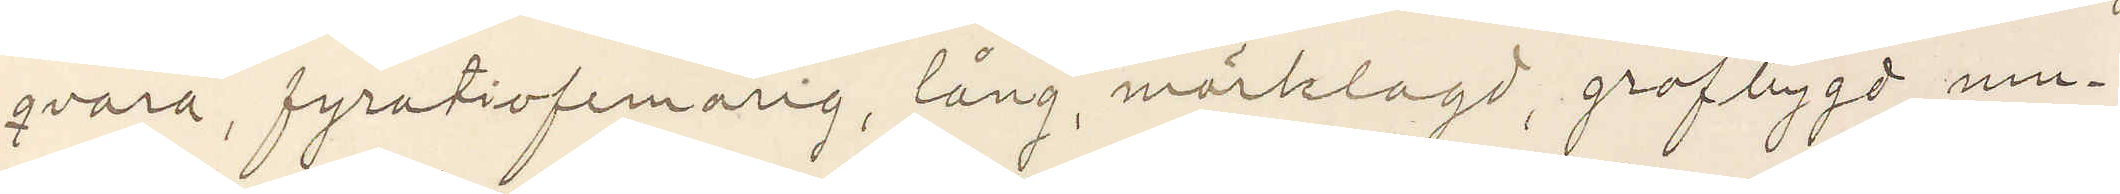qvara, fyratiofemårig, lång, mörklagd, grofbygd, mu¬
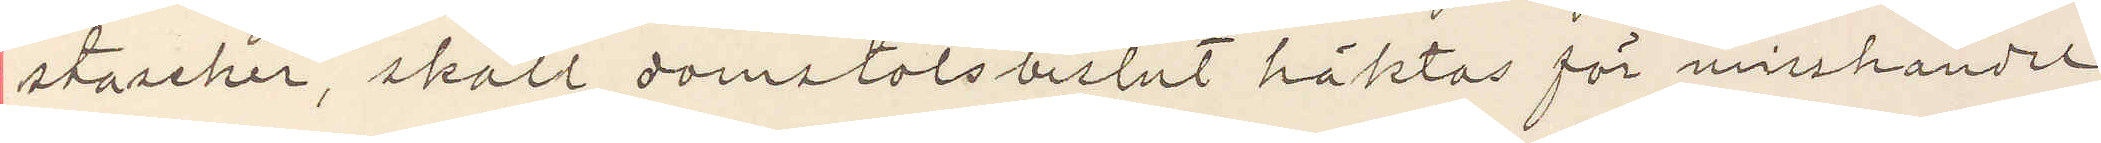stascher, skall domstolsbelsut häktas för misshandel,
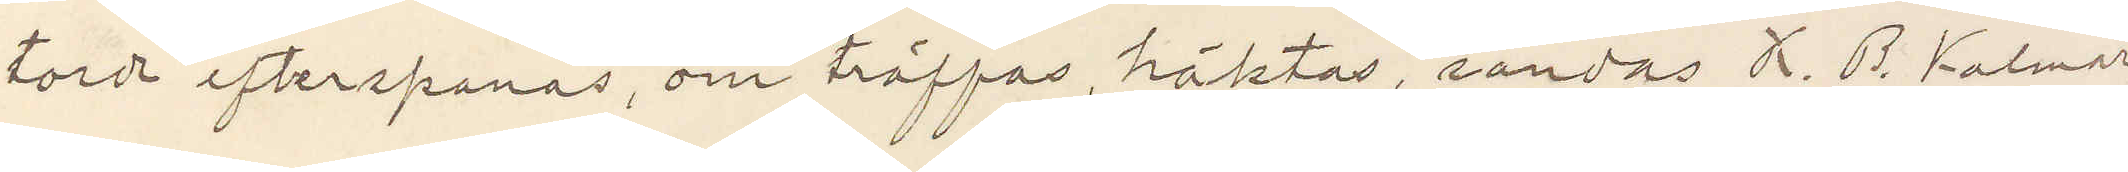torde efterspanas, om träffas, häktas, sändas K. B. Kalmar
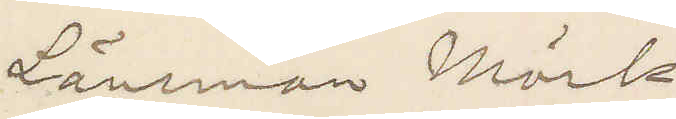Länsman Mörk.
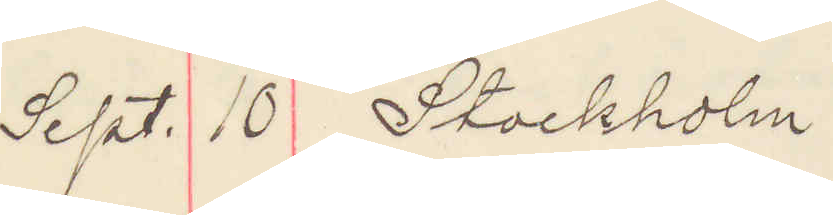Sept. 10 Stockholm
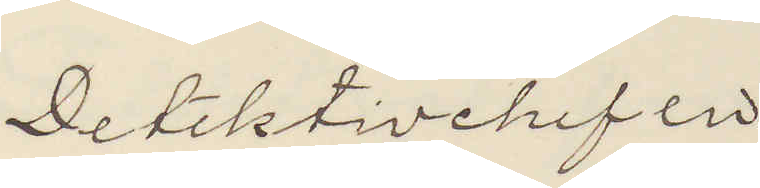Detektivchefen
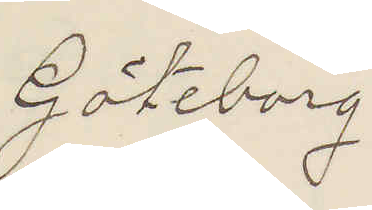Göteborg
